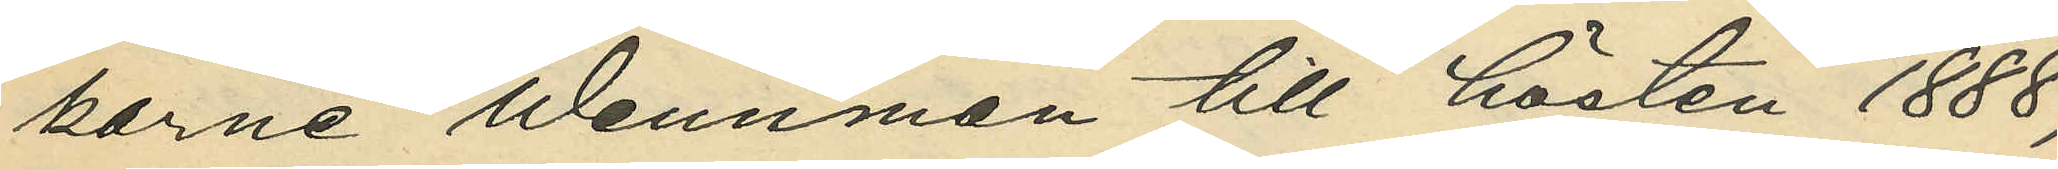karne Wennman till hösten 1888,
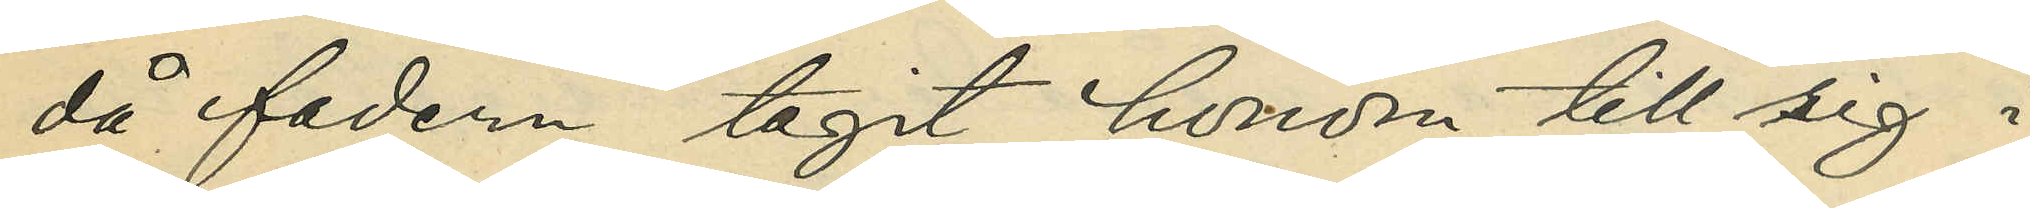då fadern tagit honom till sig i
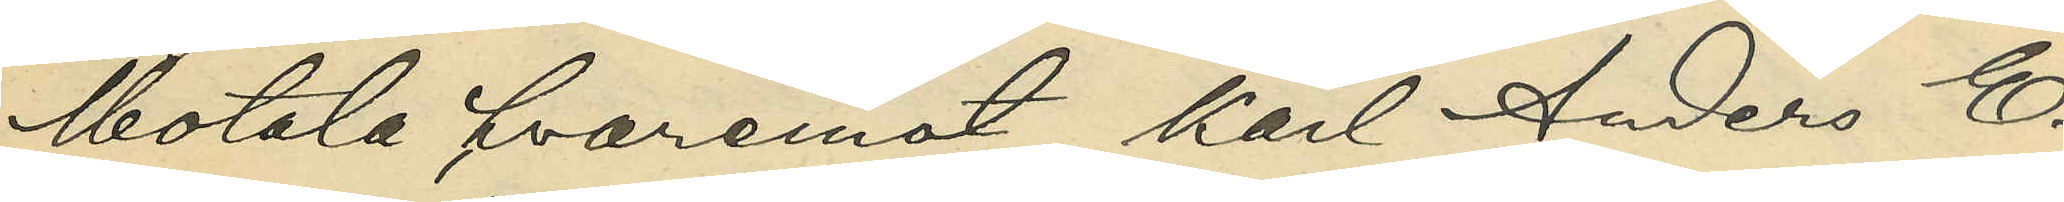Motala, hvaremot Karl Anders E¬
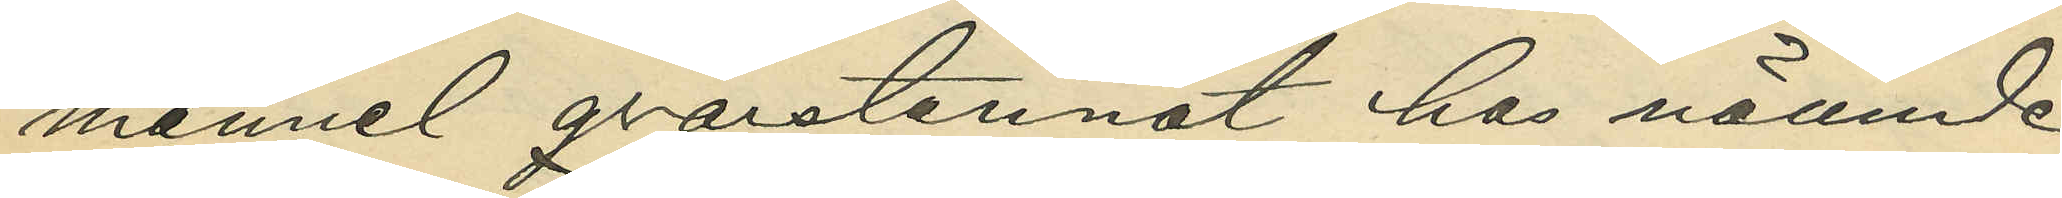manuel qvarstannat hos nämnde
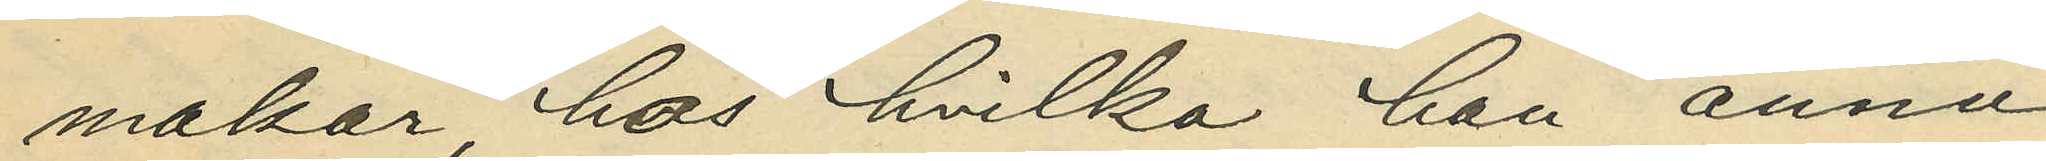makar, hos hvilka han ännu
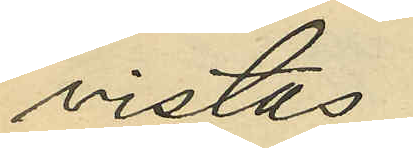vistas;
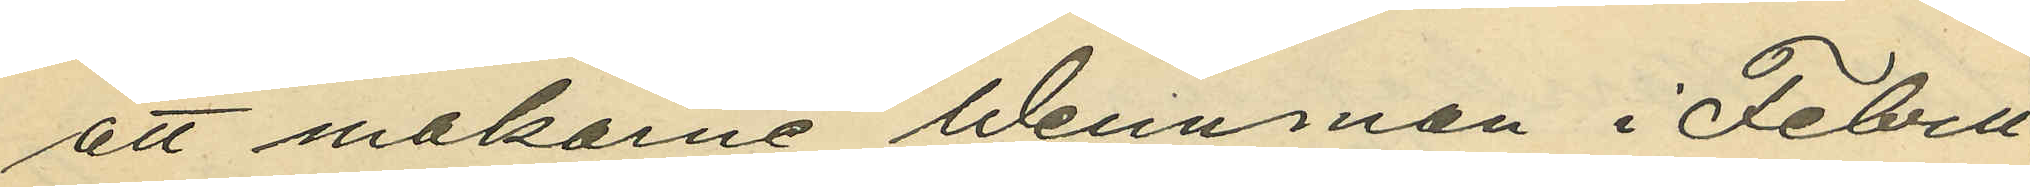att makarne Wennman i Febru¬
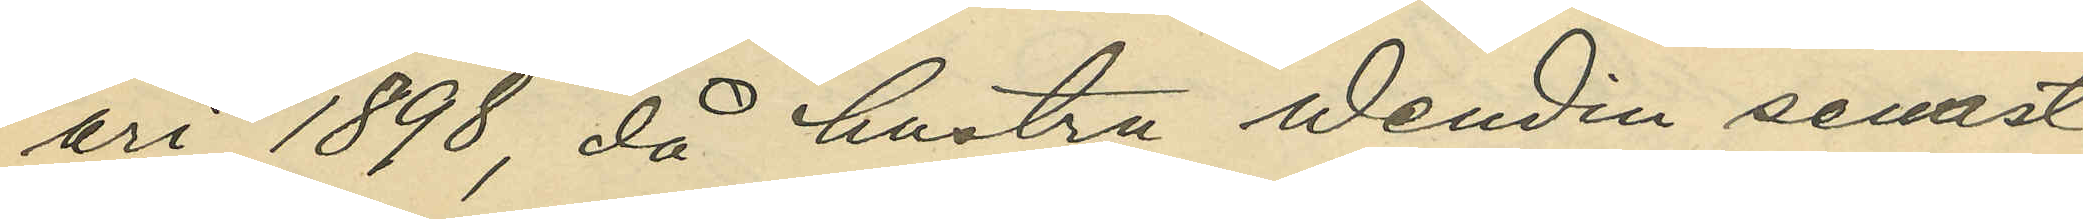ari 1898, då hustru Wendin senast
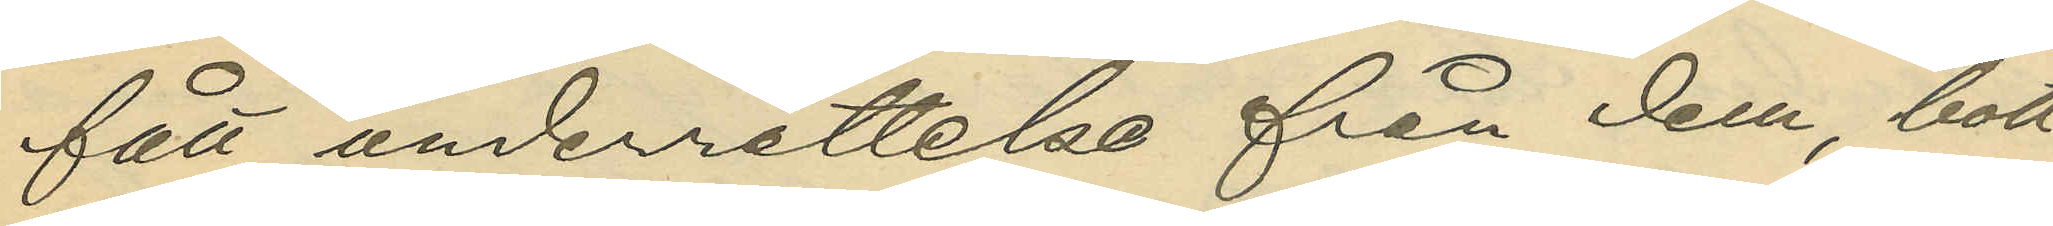fått underrättelse från dem, bott
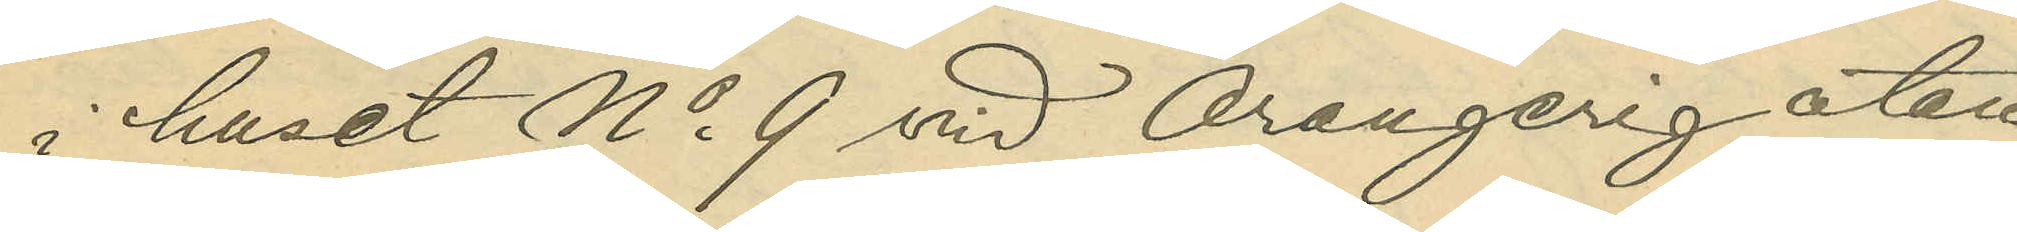i huset No 9 vid Orangerigatan
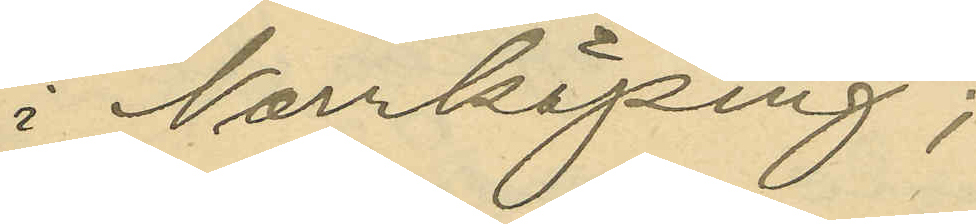i Norrköping;
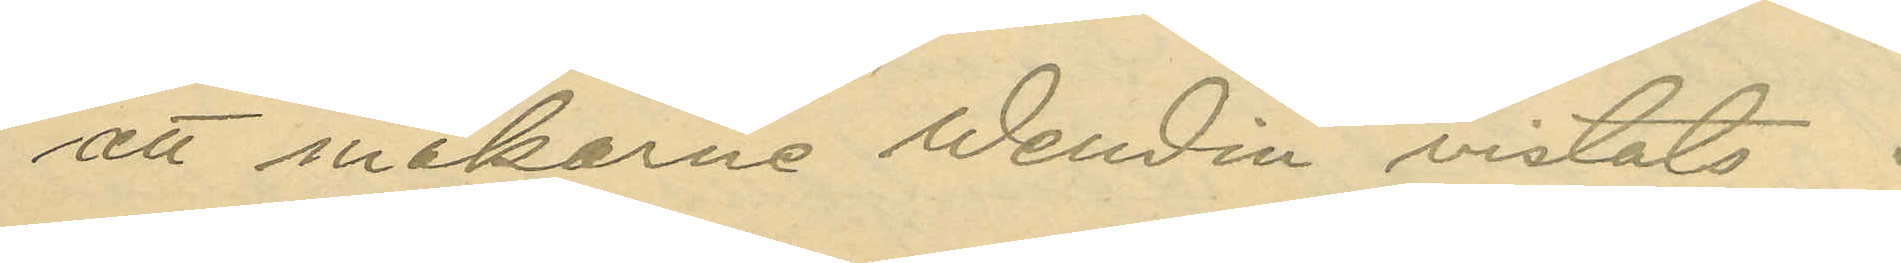att makarne Wendin vistats i
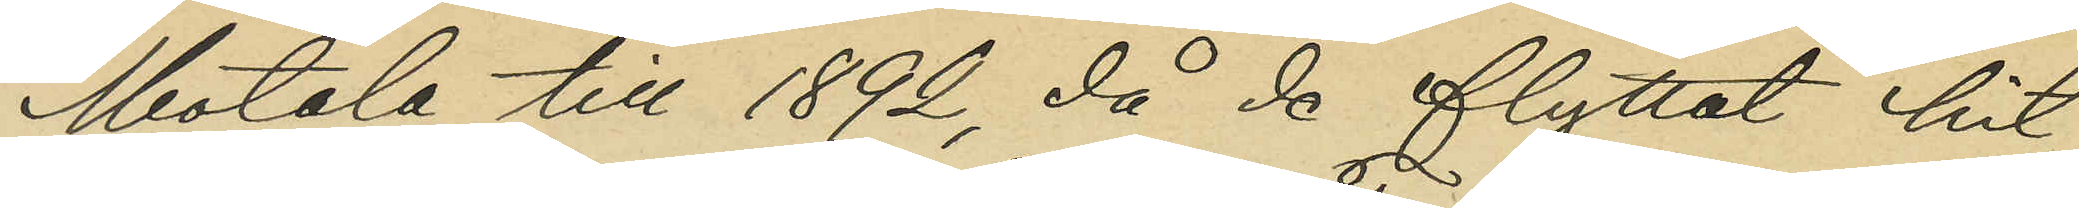Motala till 1892, då de flyttat hit
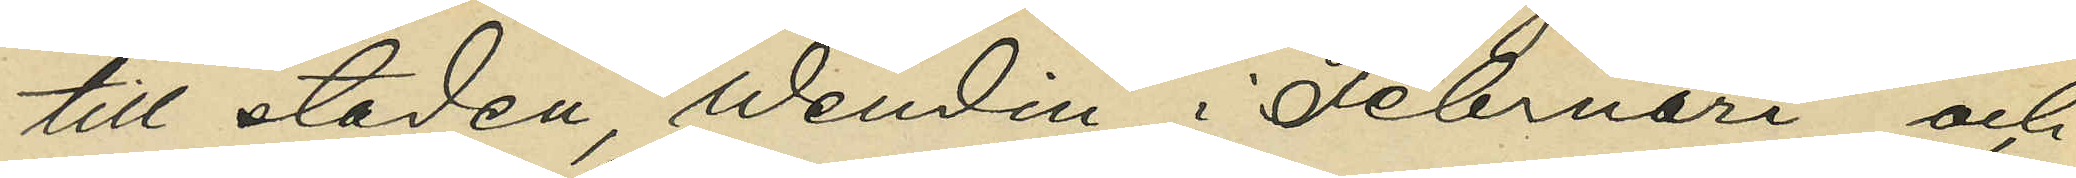till staden, Wendin i Februari och
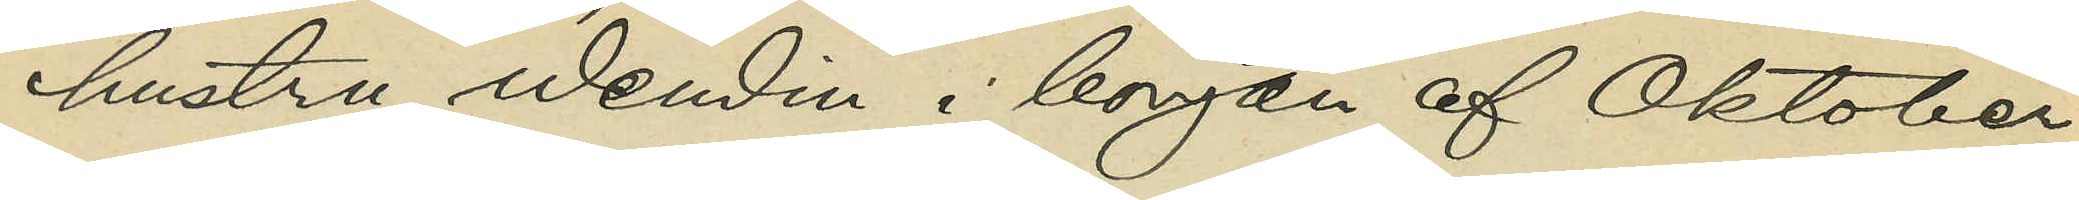hustru Wendin i början af Oktober;
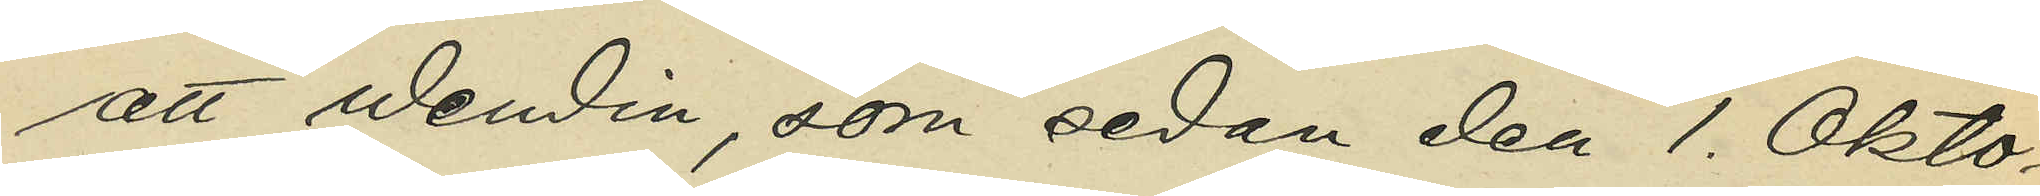att Wendin, som sedan den 1. Okto¬
